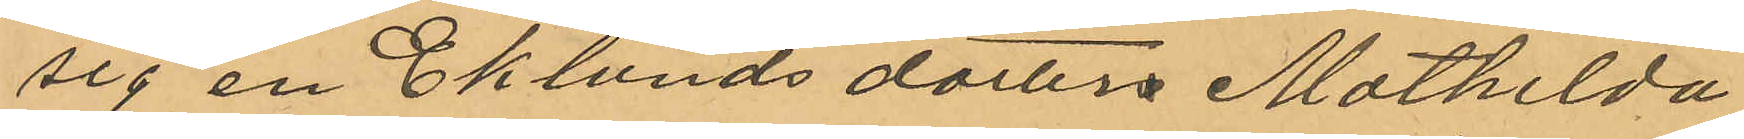sig en Eklunds dotter Mathilda
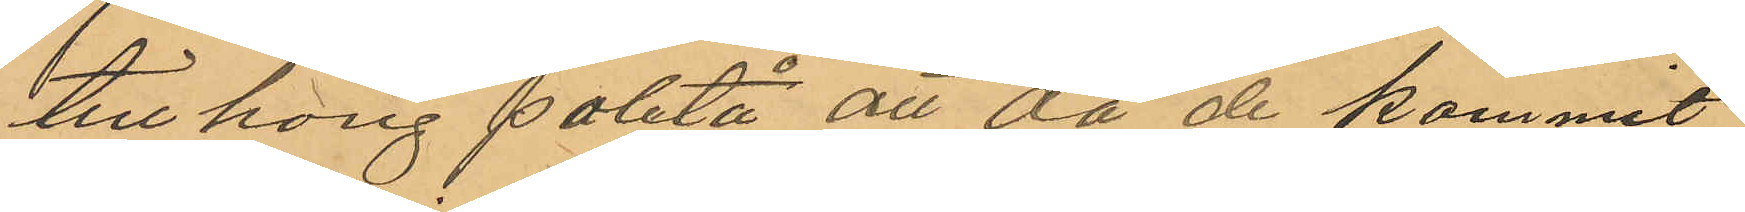tillhörig paletå att då de kommit
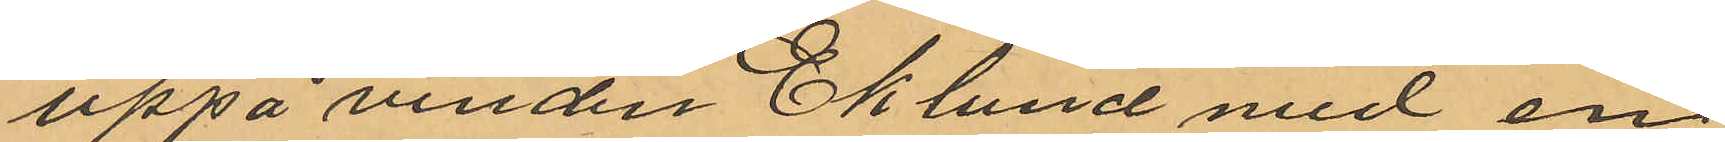uppå vinden Eklund med en
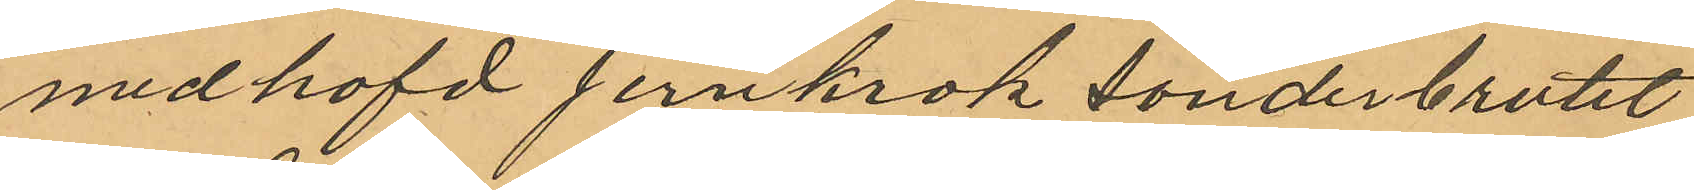medhafd jernkrok sönderbrutit
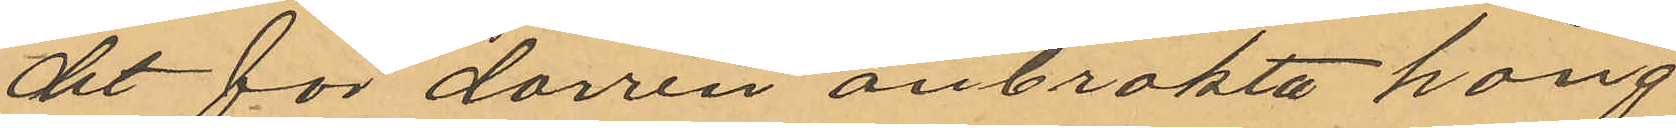det för dörren anbrakta häng¬
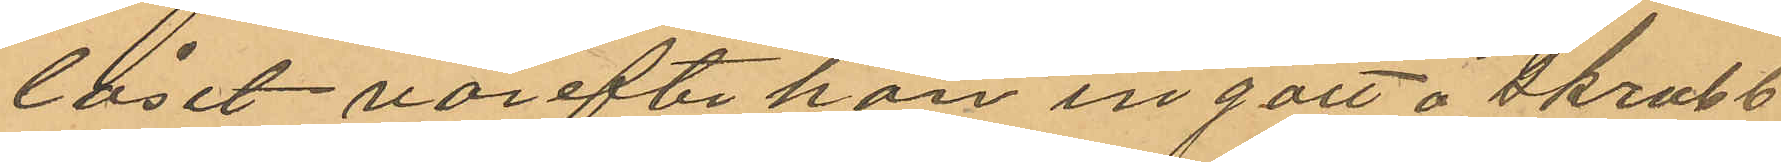låset, varefter han ingått å skrubb¬
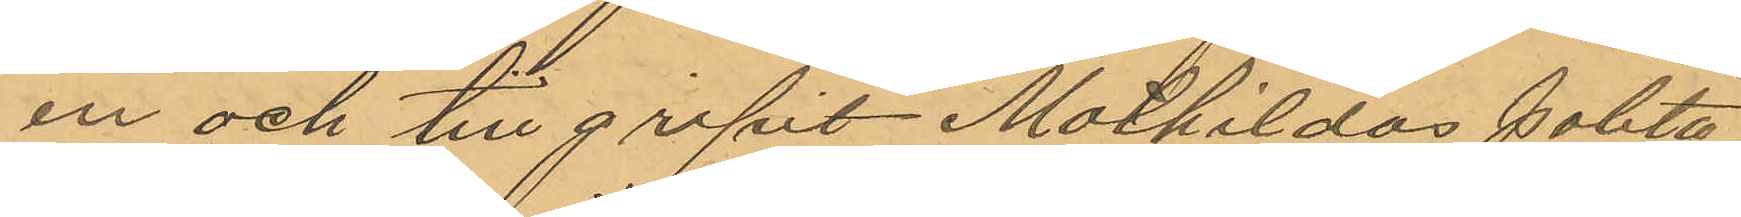en och tillgripit Mathildas paletå
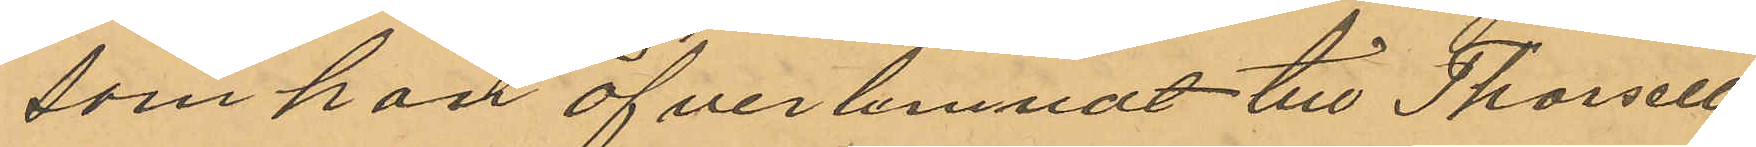som han öfverlemnat till Thorsell
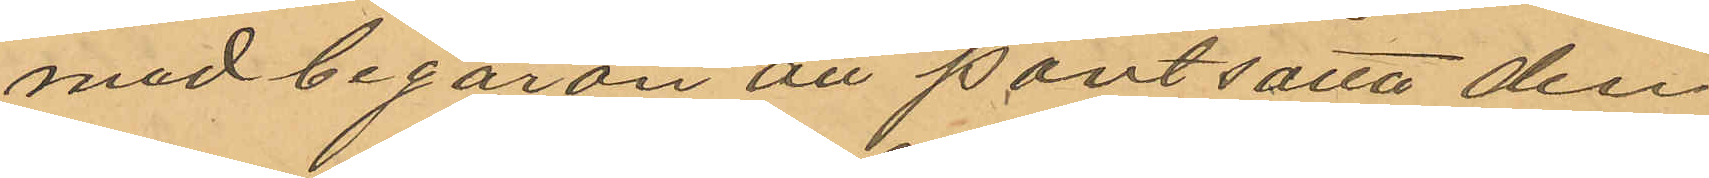med begäran att pantsätta den¬
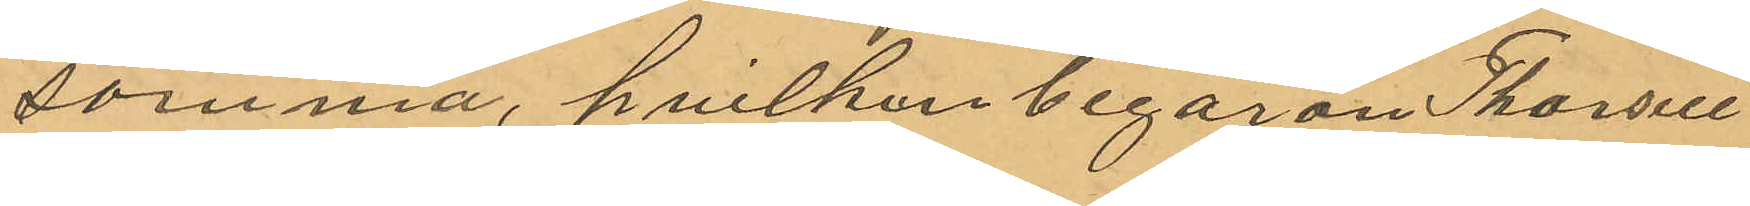samma, hvilken begäran Thorsell
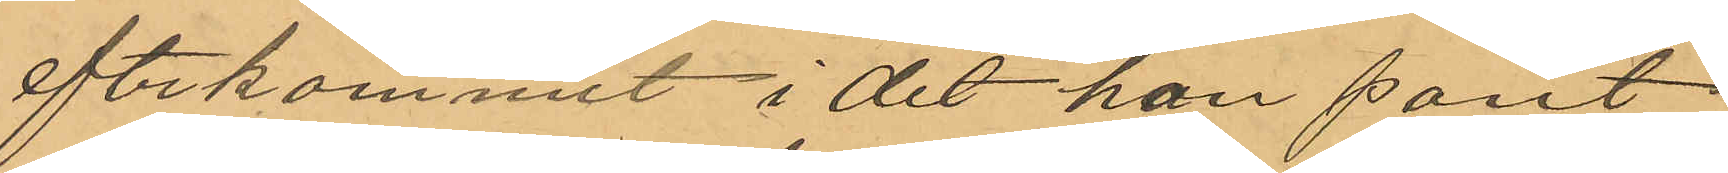eftekommit i det han pant¬
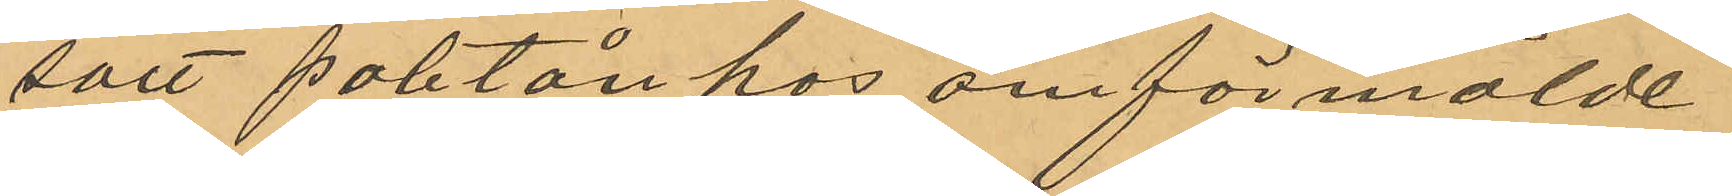satt paletån hos omförmälde
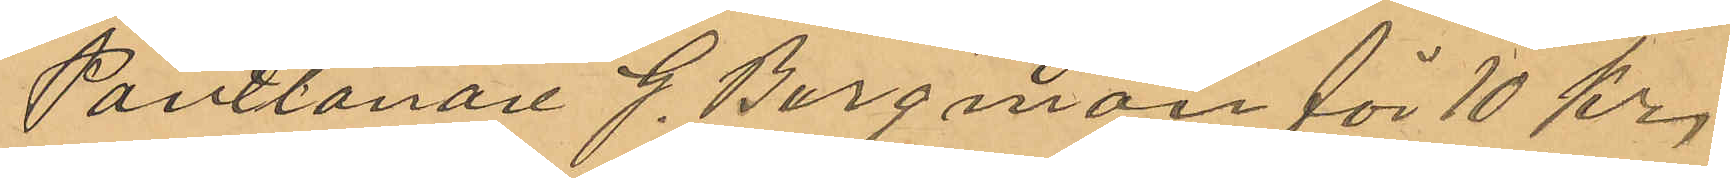Pantlånare J. Bergman för 10 kr,
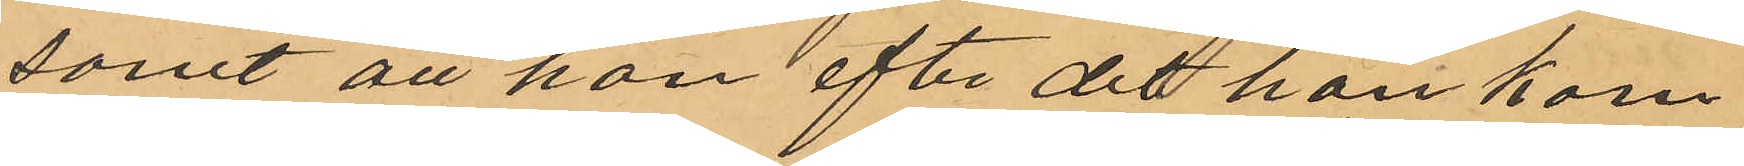samt att han efter det han kom¬
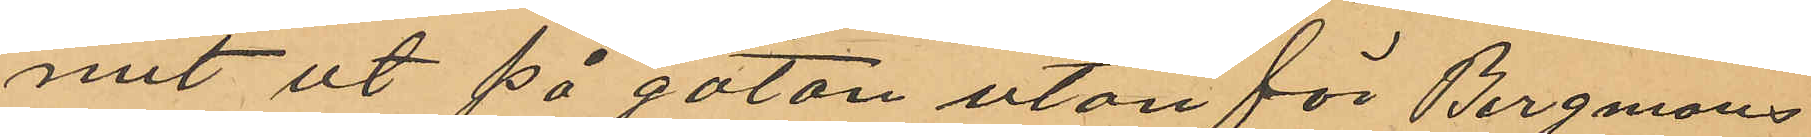mit ut på gatan utanför Bergmans
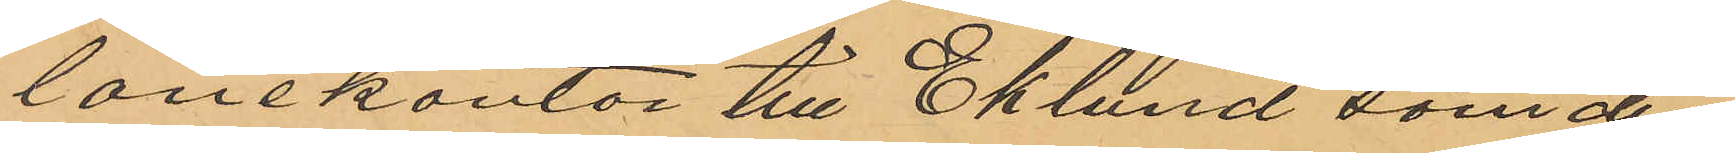lånekontor till Eklund som der
